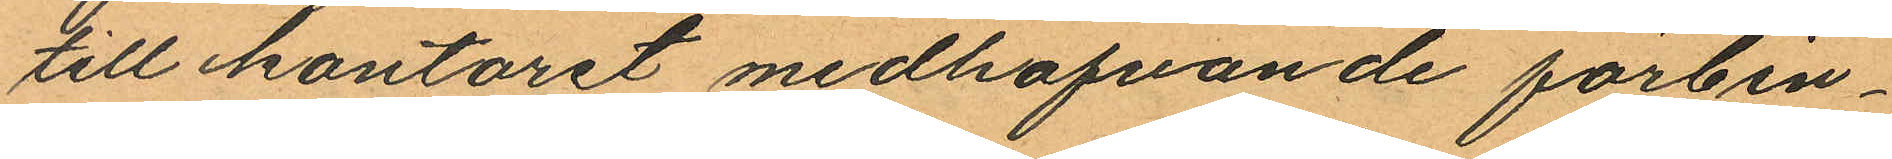till kontoret medhafvande förbin¬
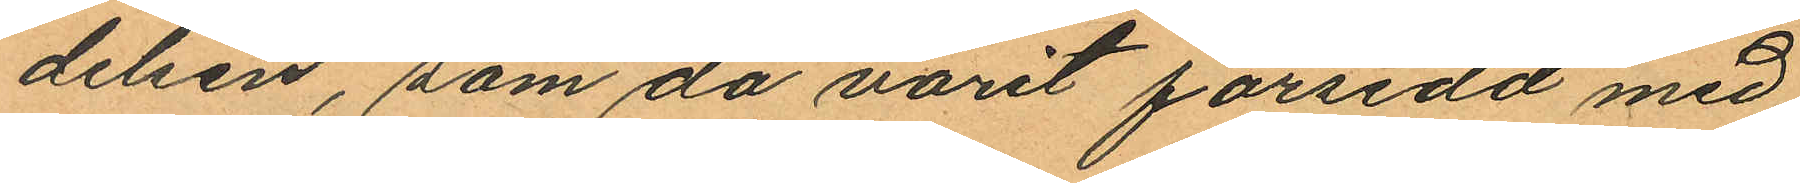delsen, som då varit försedd med
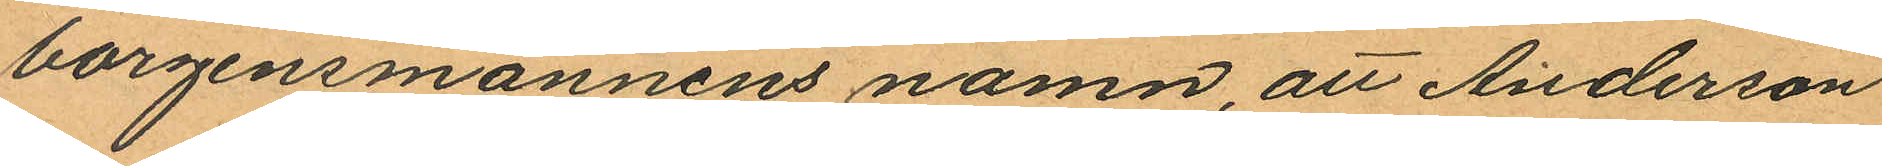borgensmännens namn, att Anderson
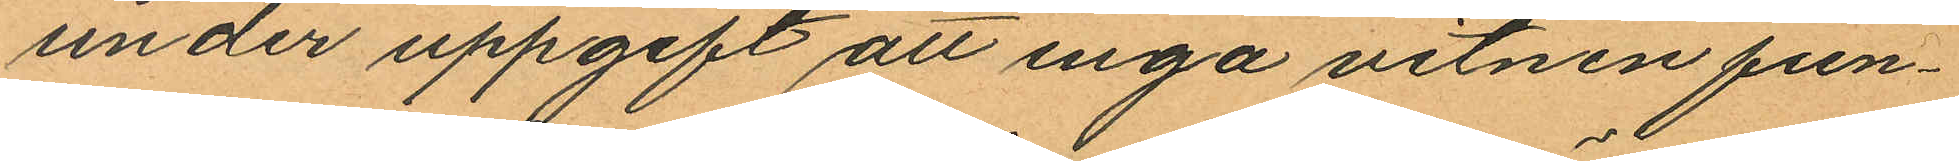under uppgift att inga vitnen fun¬
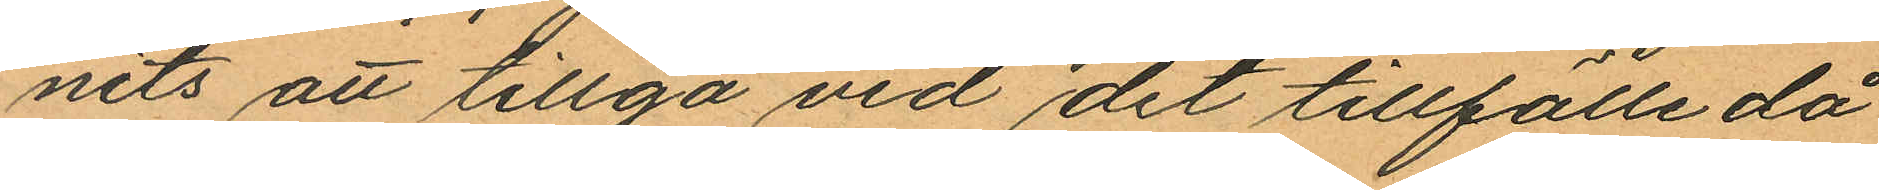nits att tillgå vid det tillfälle då
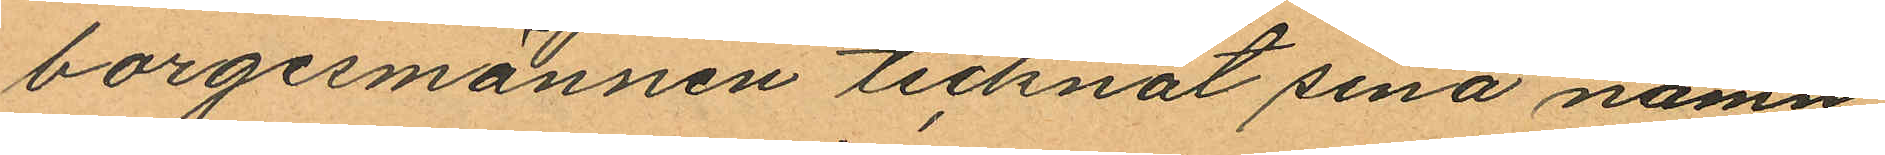borgesmännen tecknat sina namn,
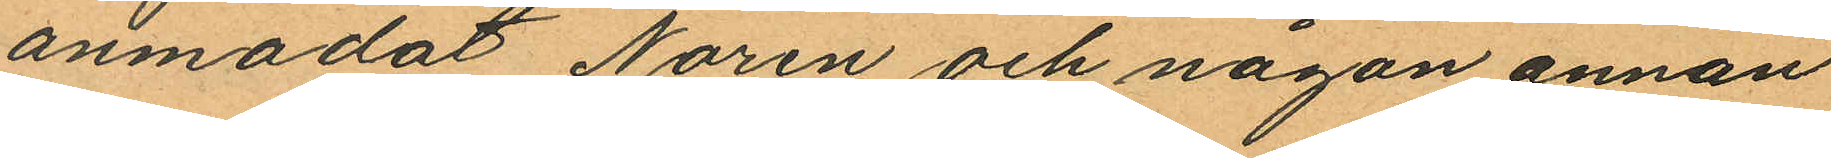anmodat Norén och någon annan
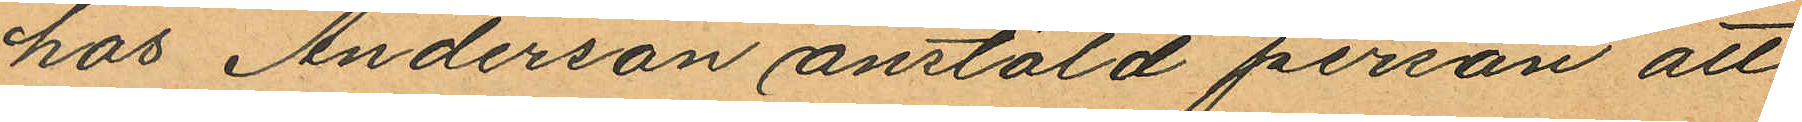hos Anderson anstäld person att
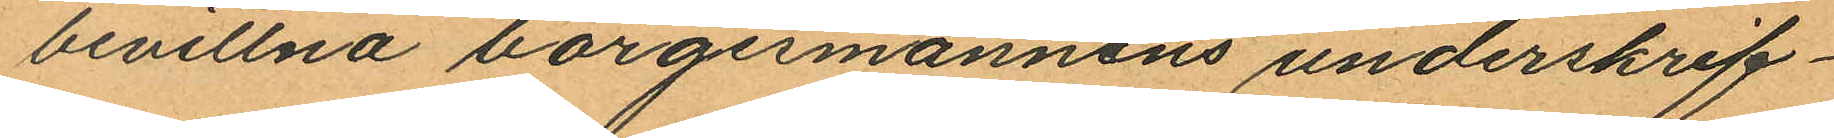bevittna borgesmännens underskrif¬
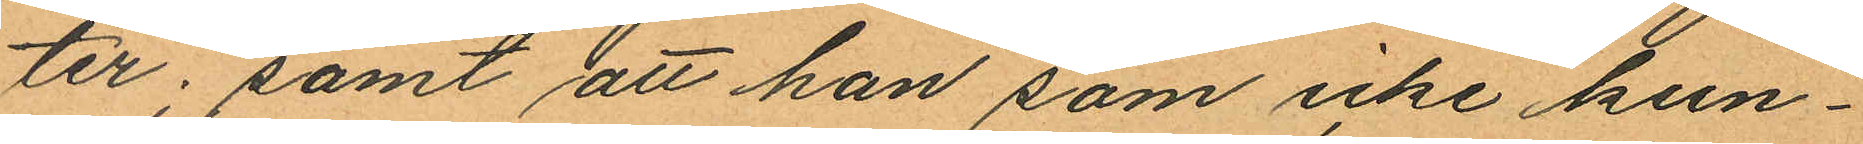ter; samt att han som icke kun¬
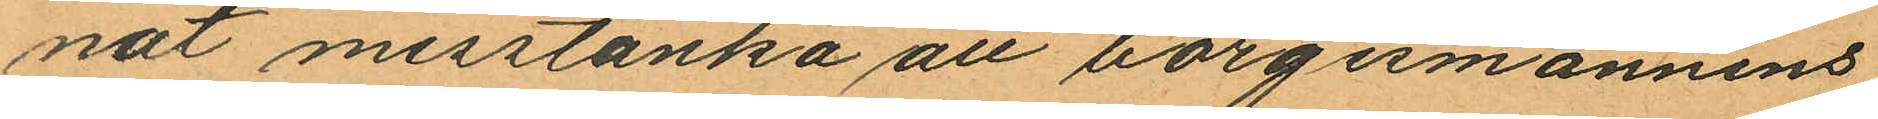nat misstänka att borgesmännens
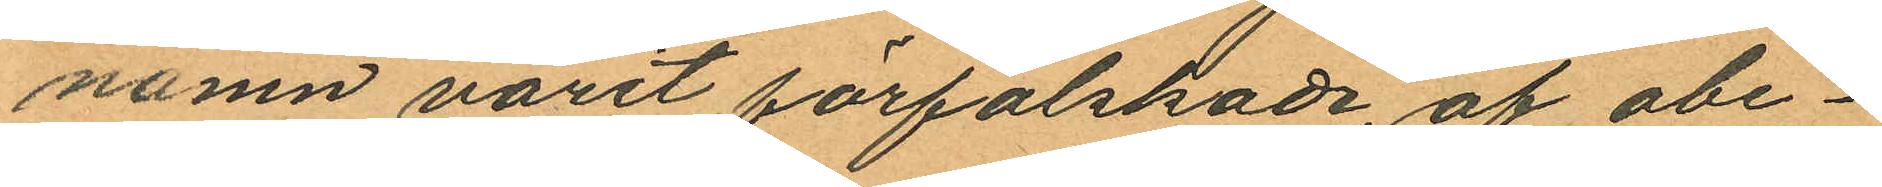namn varit förfalskade, af obe¬
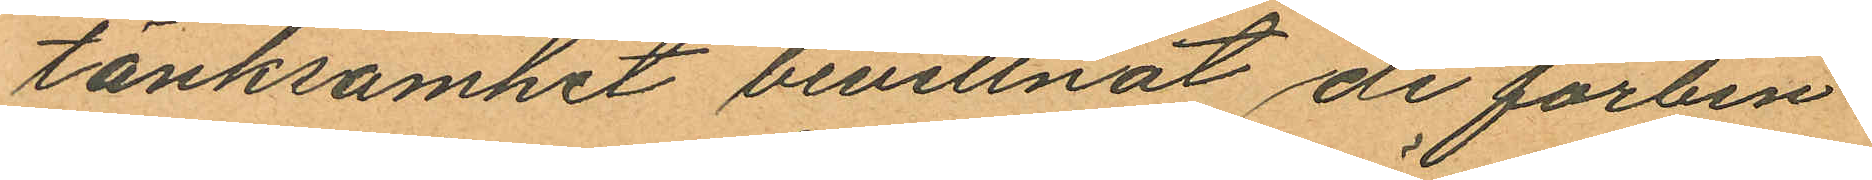tänksamhet bevittnat de förbin¬
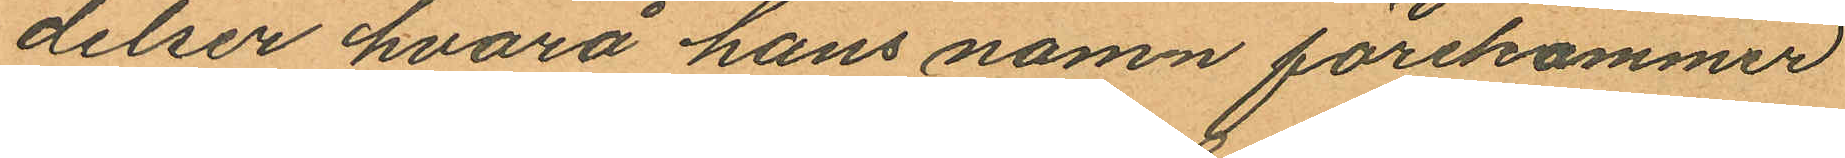delser hvarå hans namn förekommer
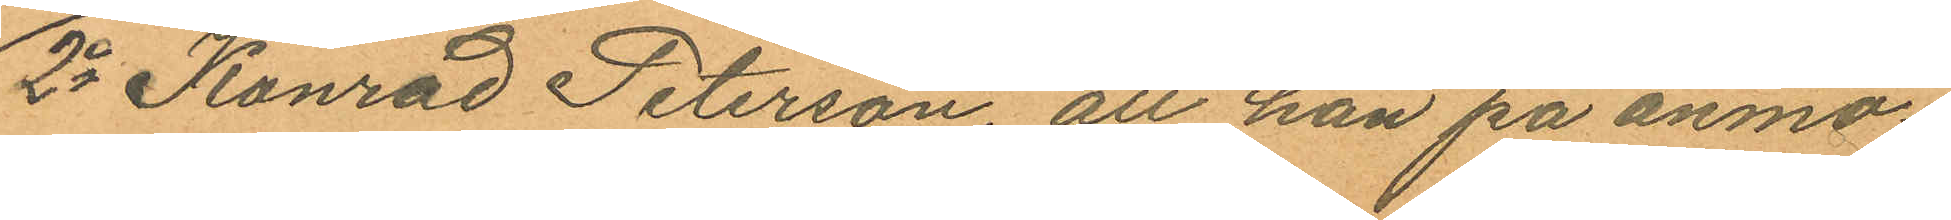2o Konrad Peterson, att han på anmo¬
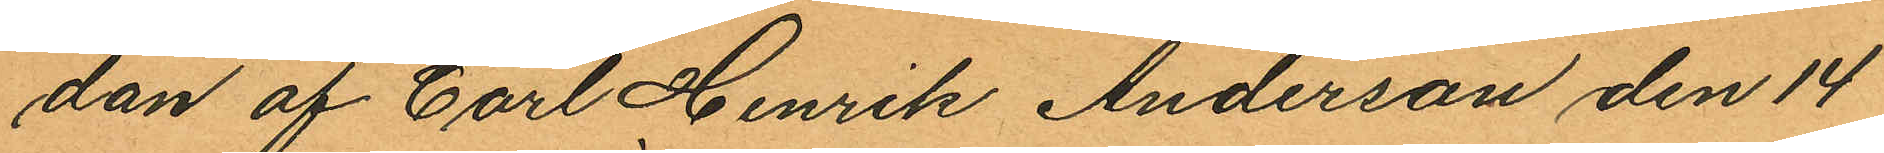dan af Carl Henrik Anderson den 14
